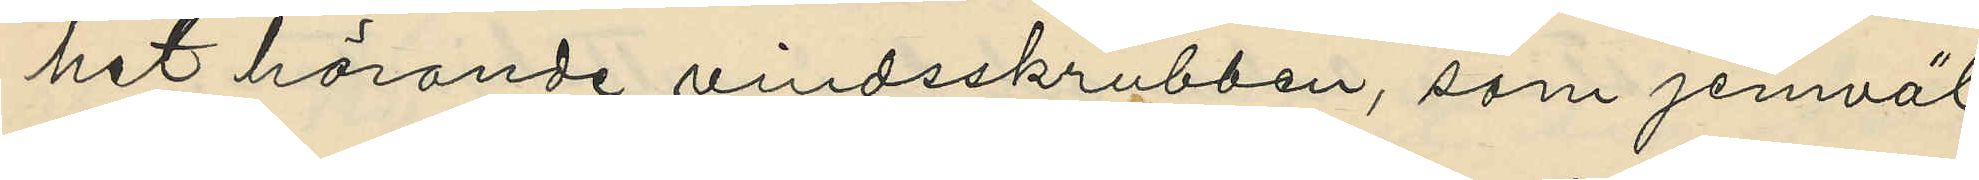het hörande vindsskrubben, som jemväl
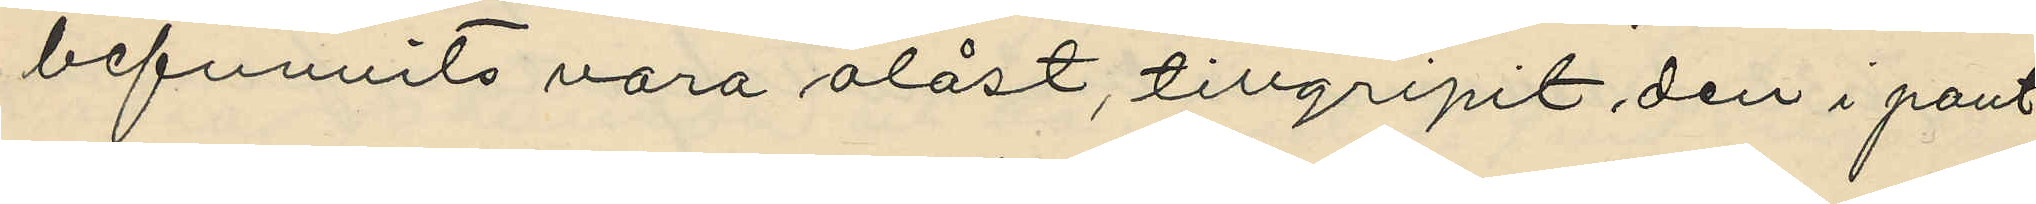befunnits vara olåst, tillgripit den i pant¬
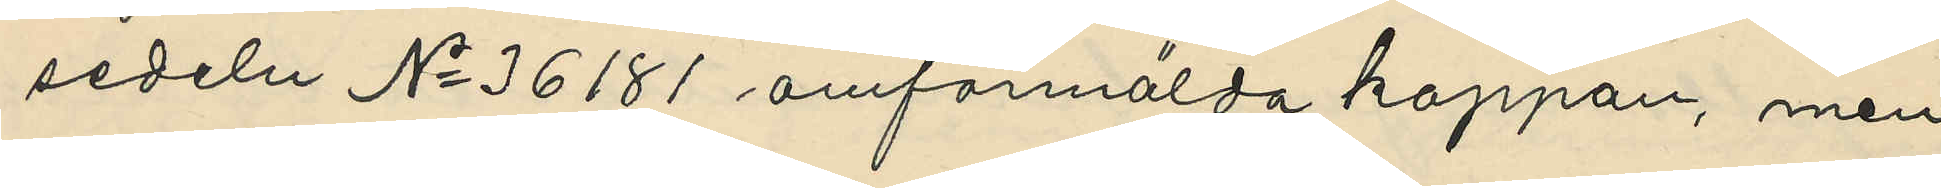sedeln No 36181 omförmälda kappan, men
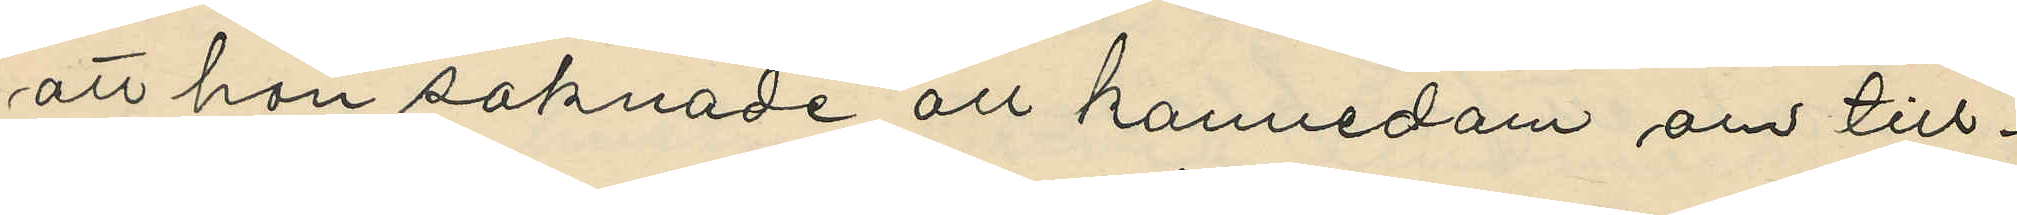att hon saknade all kannedom om till¬
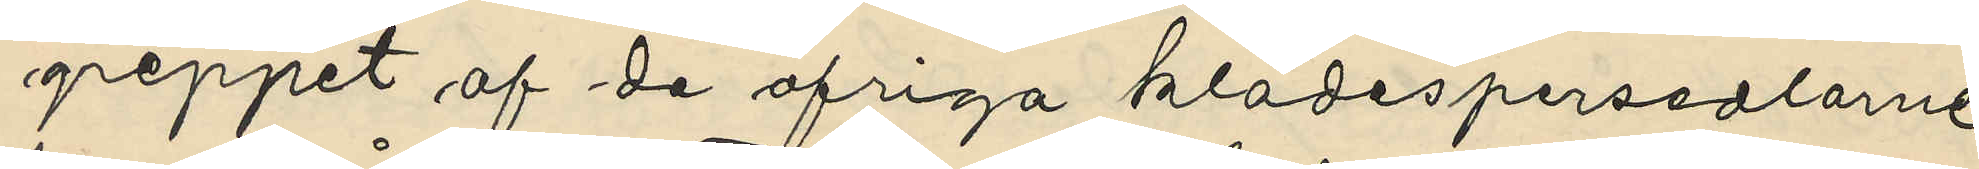greppet af de öfriga klädespersedlarne
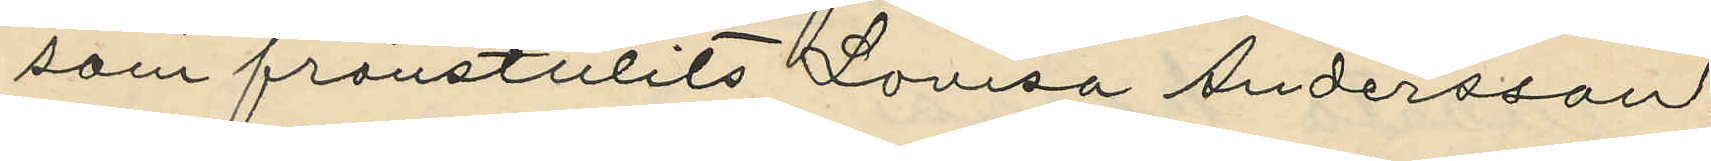som frånstulits Lovisa Andersson,
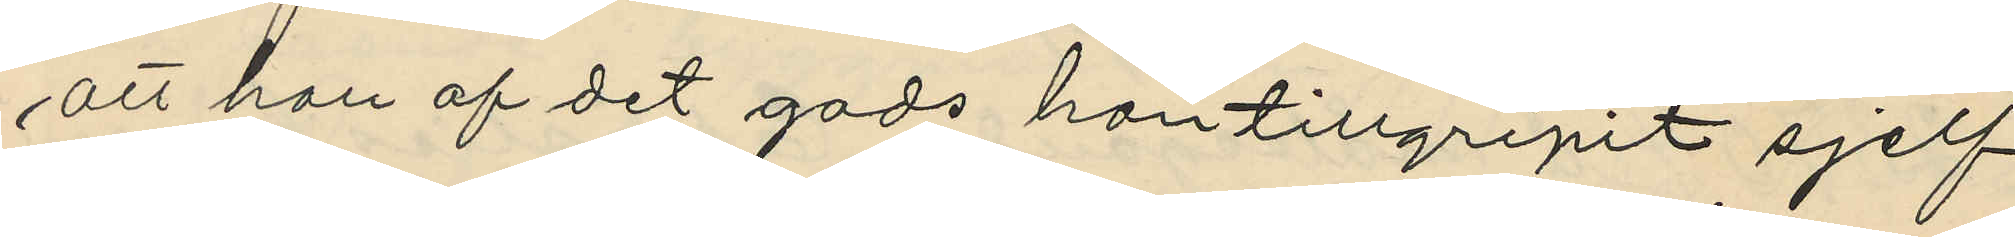att hon af det gods hon tillgripit sjelf
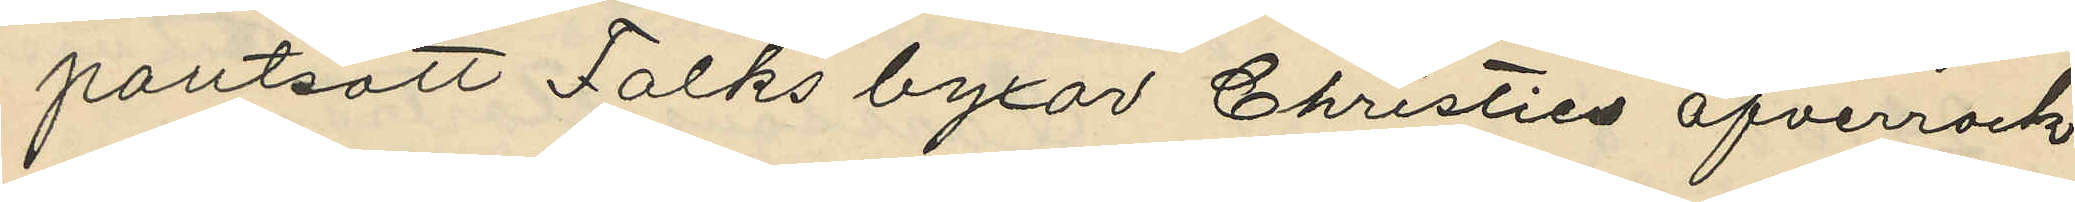pantsatt Falks byxor Christies öfverrock
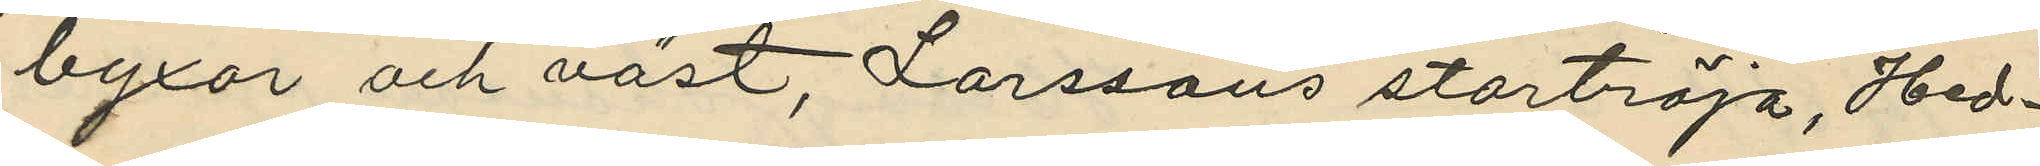byxor och väst, Larssons stortröja, Hed¬
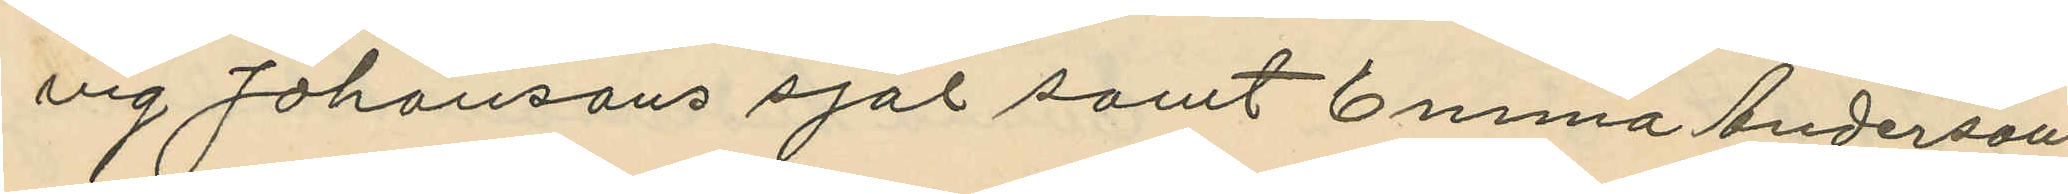vig Johansons sjal samt Emma Andersons
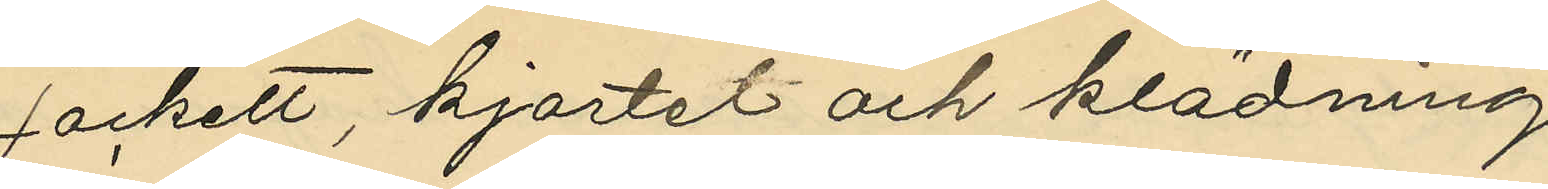jackett, kjortel och klädning
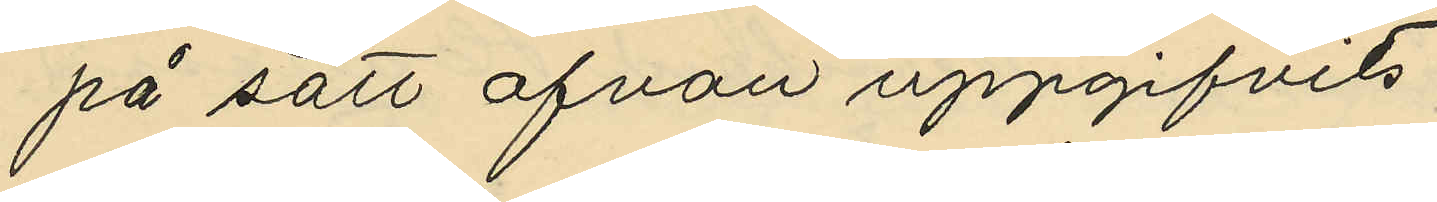på sätt ofvan uppgifvits;
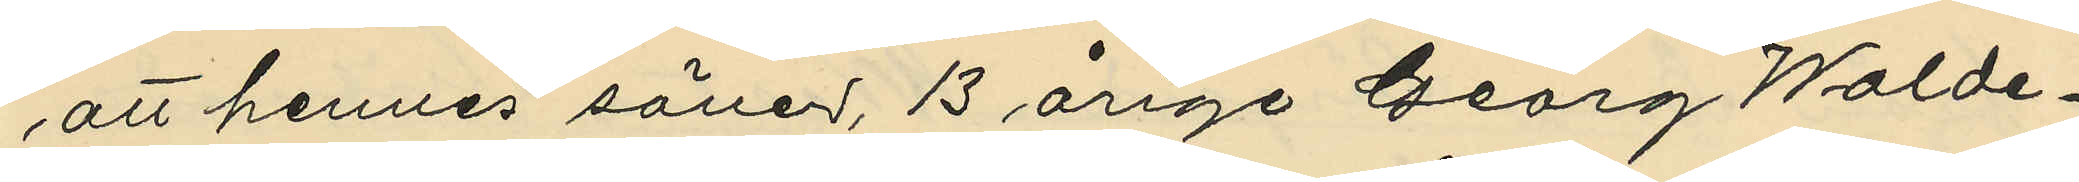att hennes söner, 13 årige Georg Walde¬
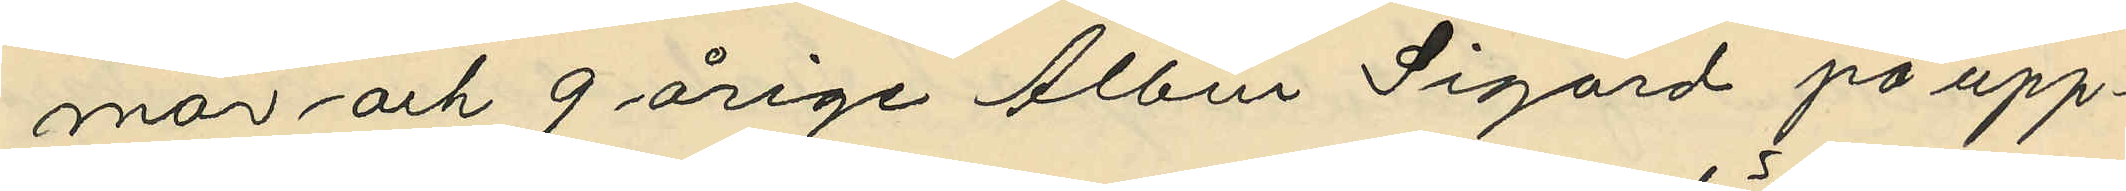mar och 9 årige Albin Sigurd på upp¬
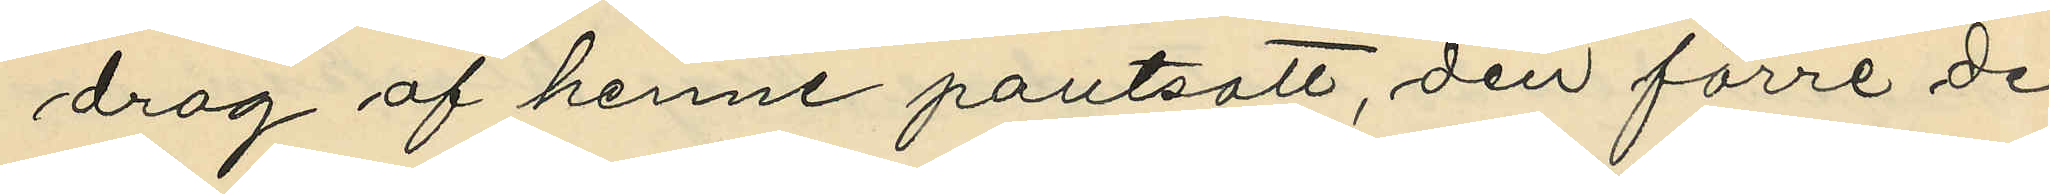drag af henne pantsatt, den förre de
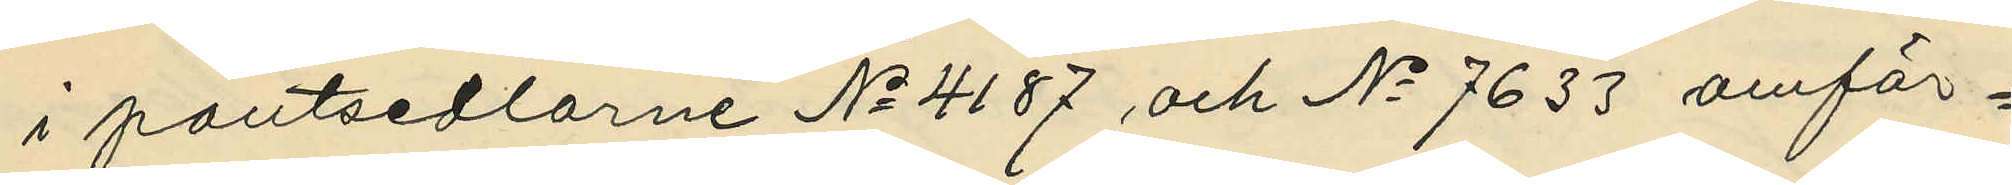i pantsedlarne No 4187 och No 7633 omför¬
